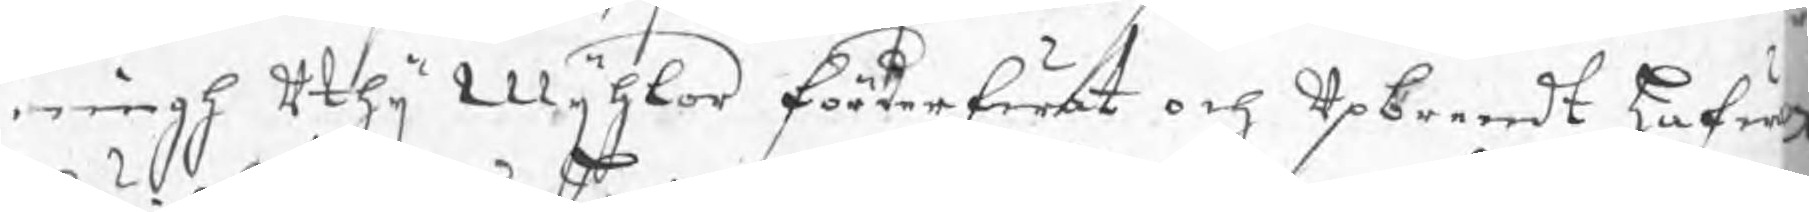ningh uthij Mijhlor förderfwat och upbrendt hafw
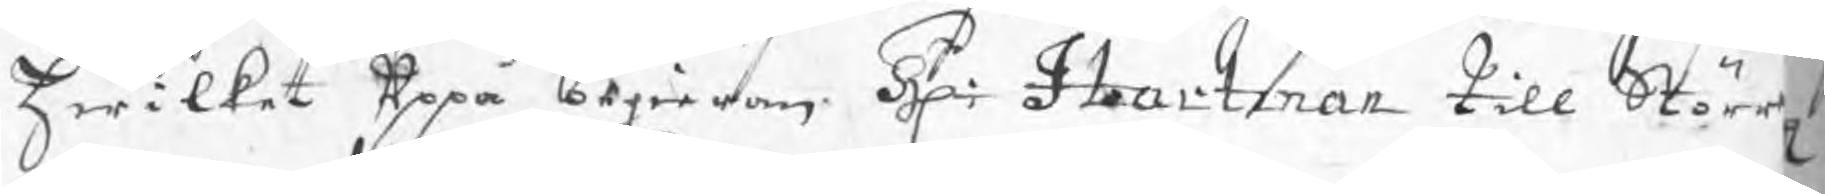hwilket uppå begieran Hr: Hartman till Störr
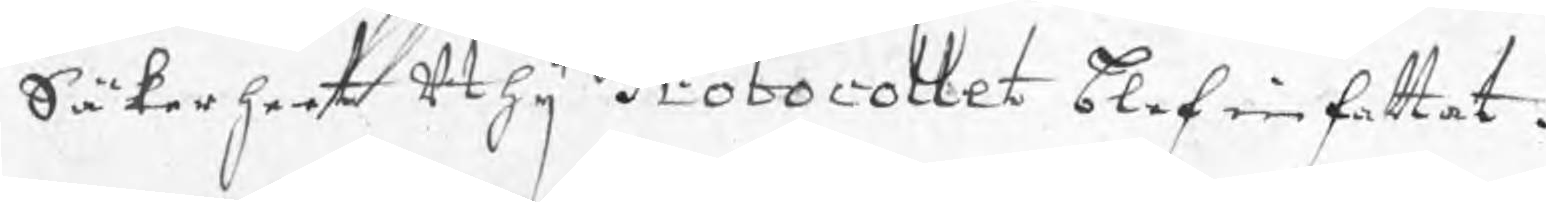Säkerheet uthij Protocollet blef infattat.
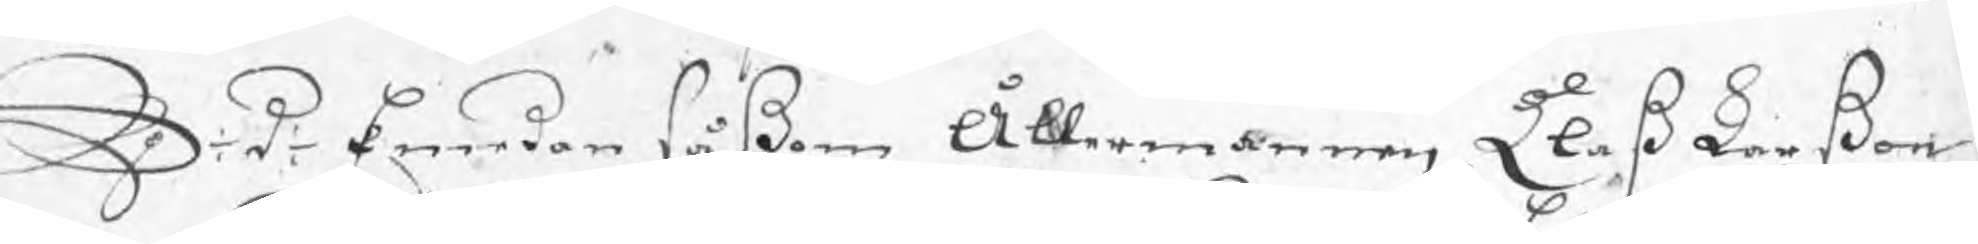S: d: Emedan såßom Ållermannen Clas Larßon
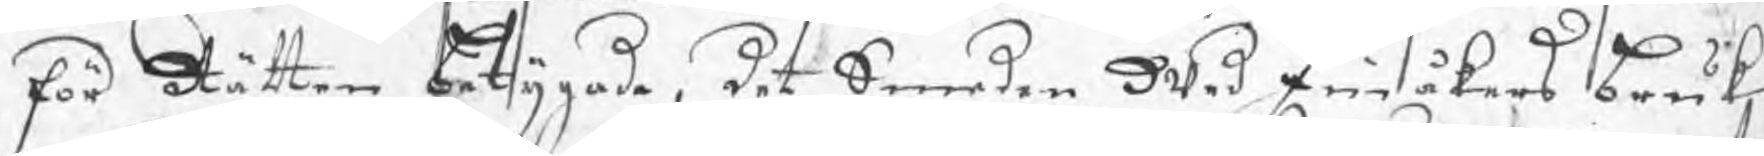för Rätten betygade, det Smeden wed Finåkers bruuk
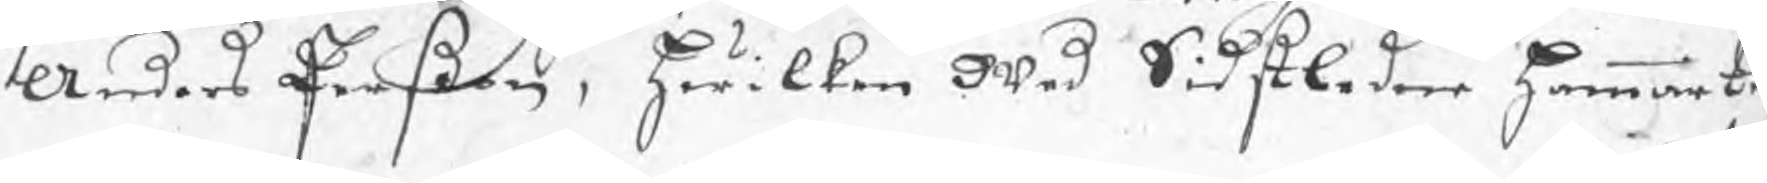Anders Perßon, hwilken wed Sidstledne hammart
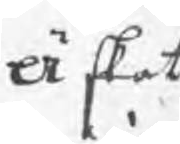Äskat
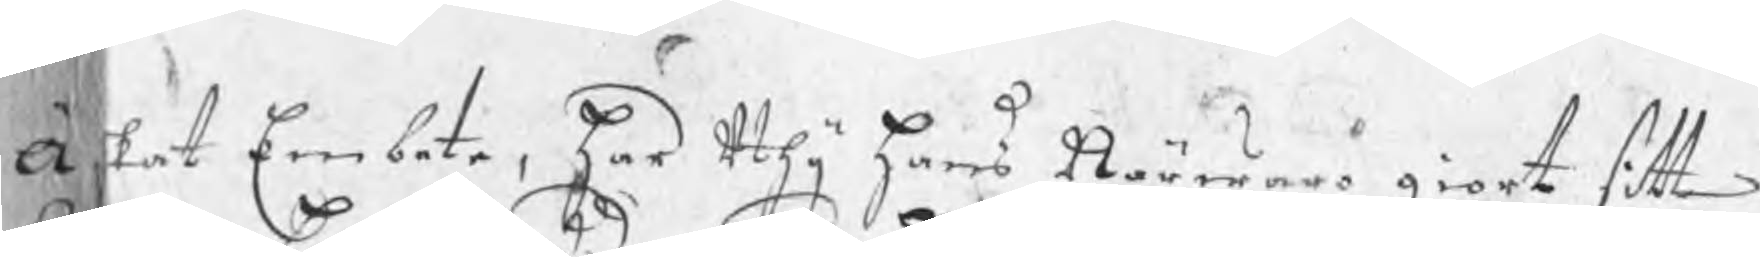Äskat Embete, har uthij hans Närwaro giort sitt
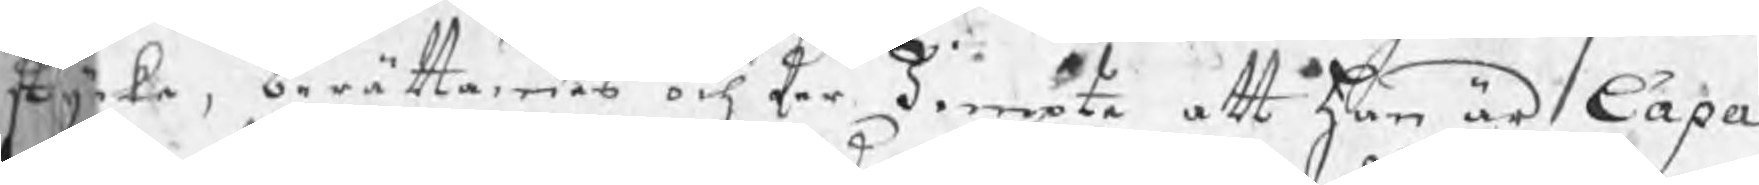stycke, berättandes och der Jempte att han är Capa¬
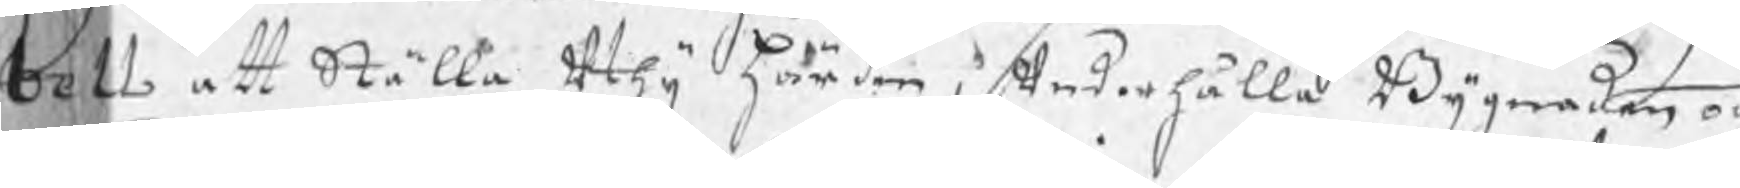bell att Ställa uthij härden, underhålla Bygnaden och
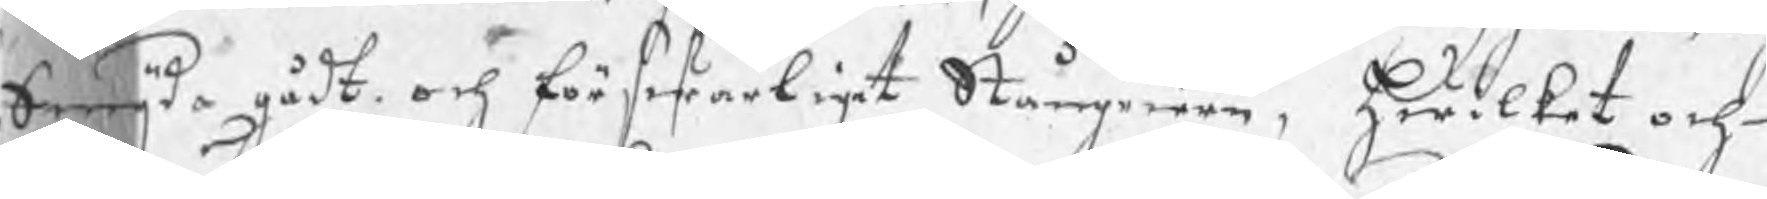Smijda gådt och förswarligt Stångjern, Hwilket och
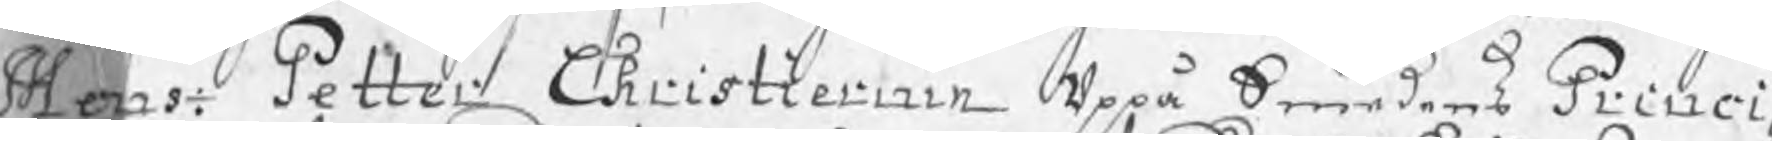Mons: Petter Christiernin uppå Smedens Princi¬
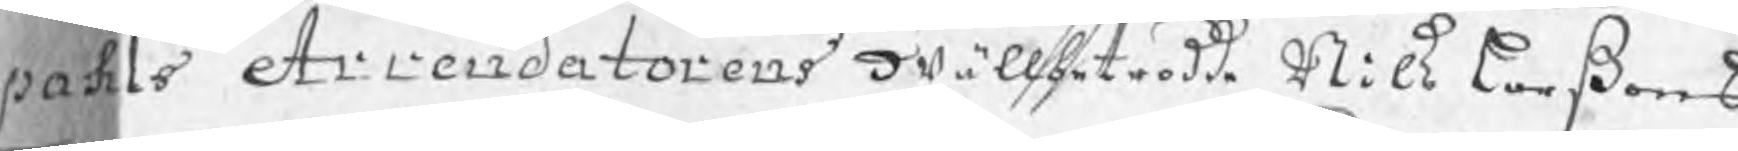pahls Arrendatorens wällbetrodde Nils Larßons
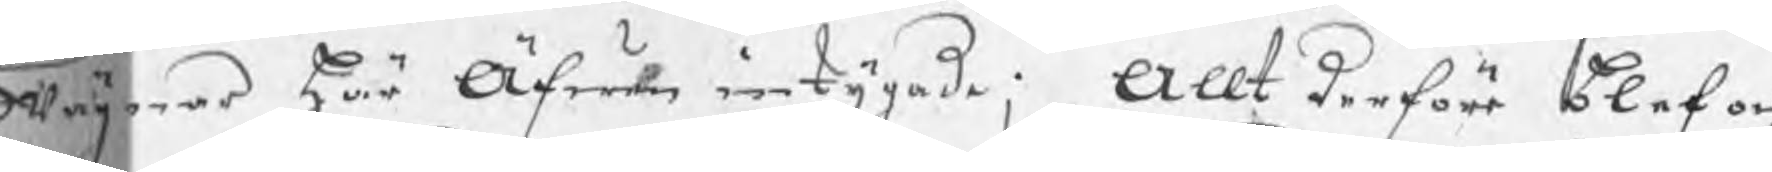wägnar här Äfwen intygade; Allt derföre blef och
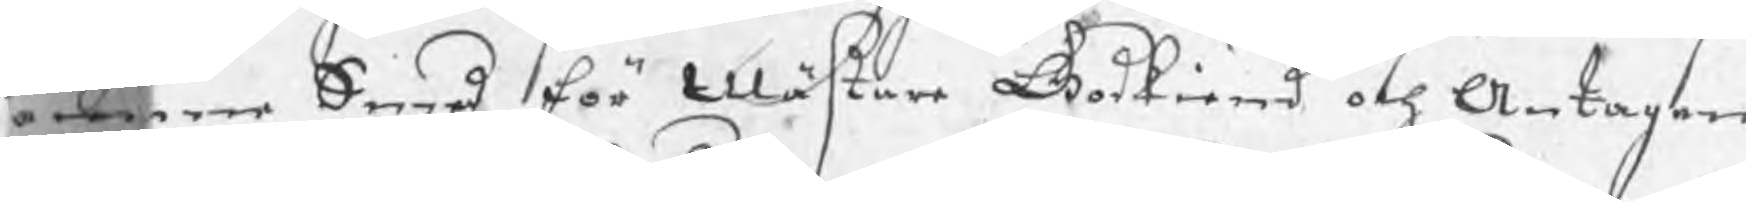amme Smed för Mästare Godkiend och Antagen,
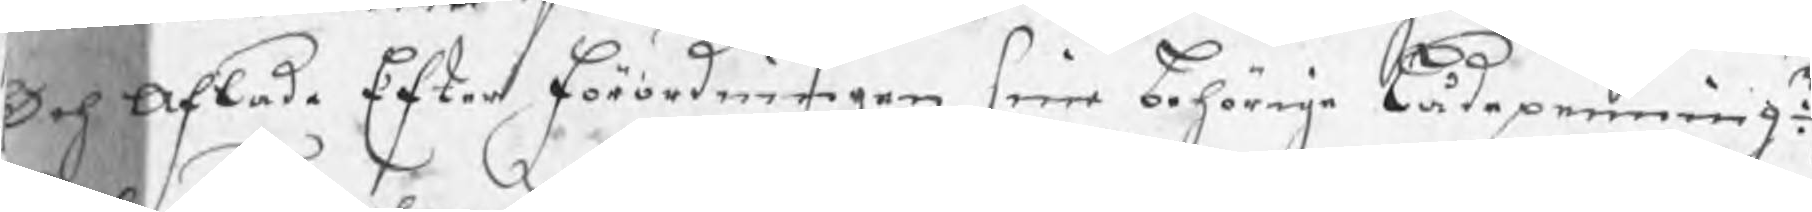Och aflade Efter förordningen sine behörige lådepenningr:,
